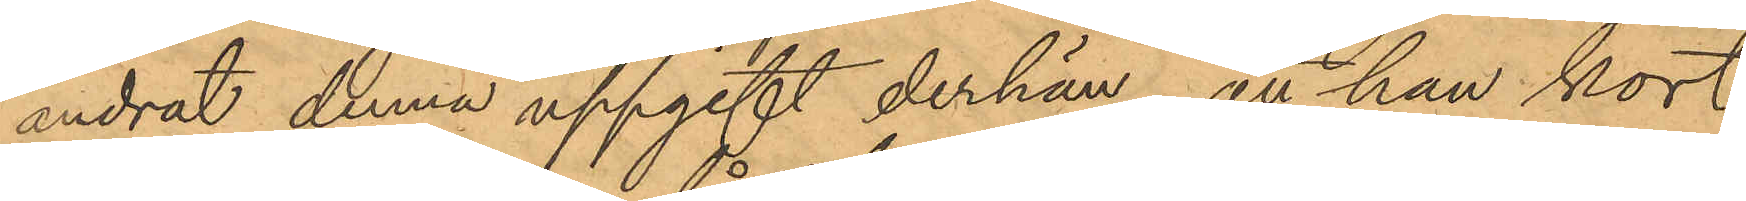ändrat denna uppgift derhän, att han kort
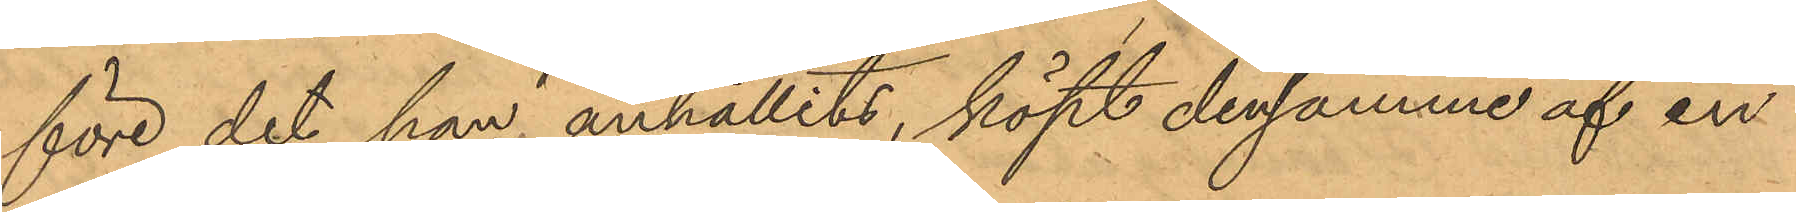före det han anhållits, köpt densamme af en
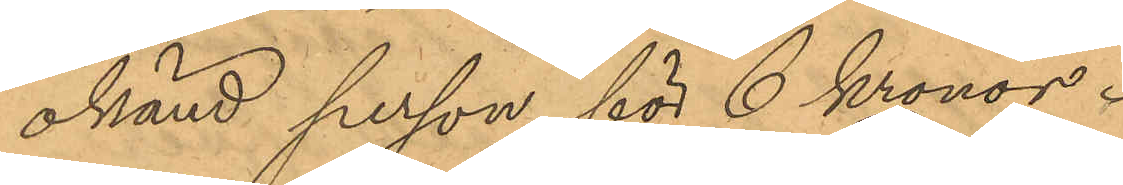okänd person för 6 Kronor.
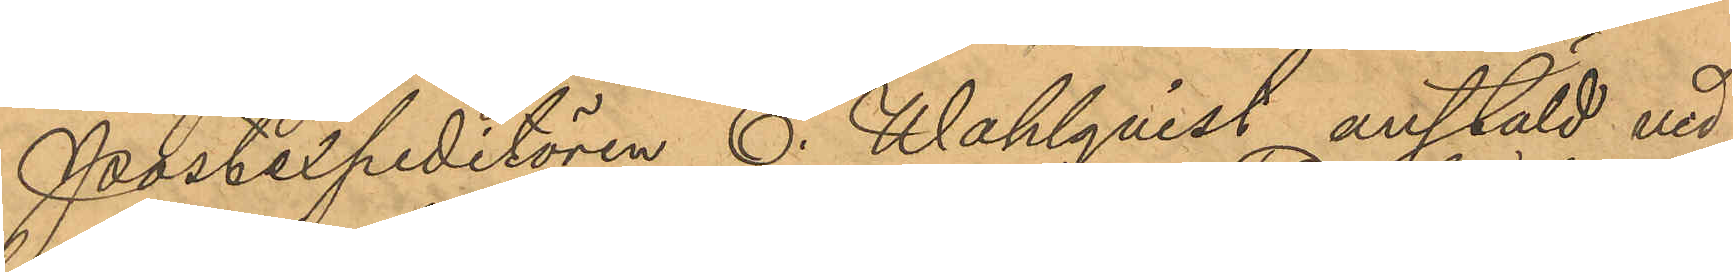Postexpeditören E. Wahlqvist anstäld vid
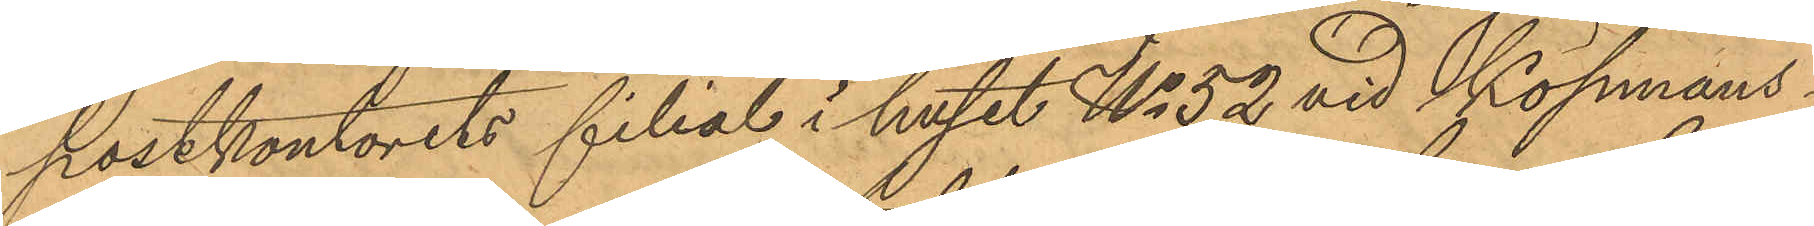postkontorets filial i huset No 52 vid Köpmans¬
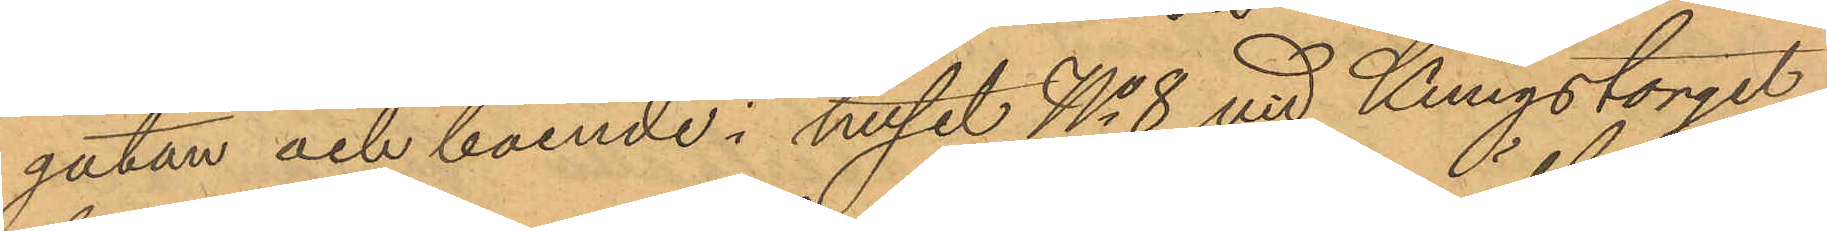gatan och boende i huset No 8 vid Kungstorget
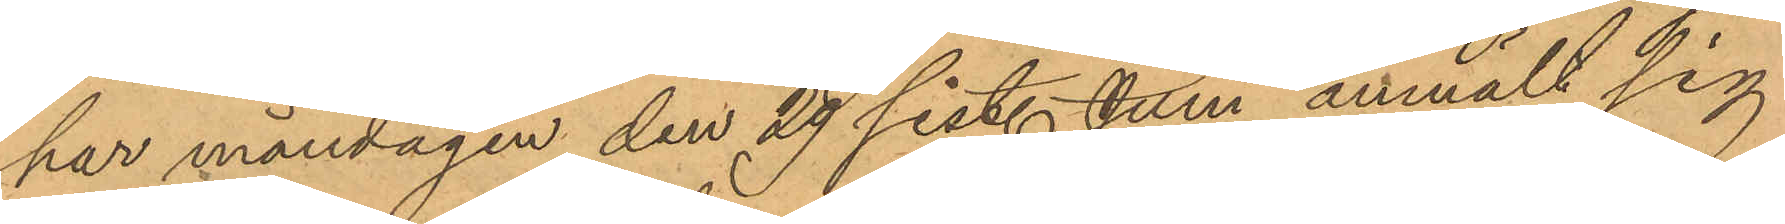har måndagen den 29 sist. Juni anmält sig
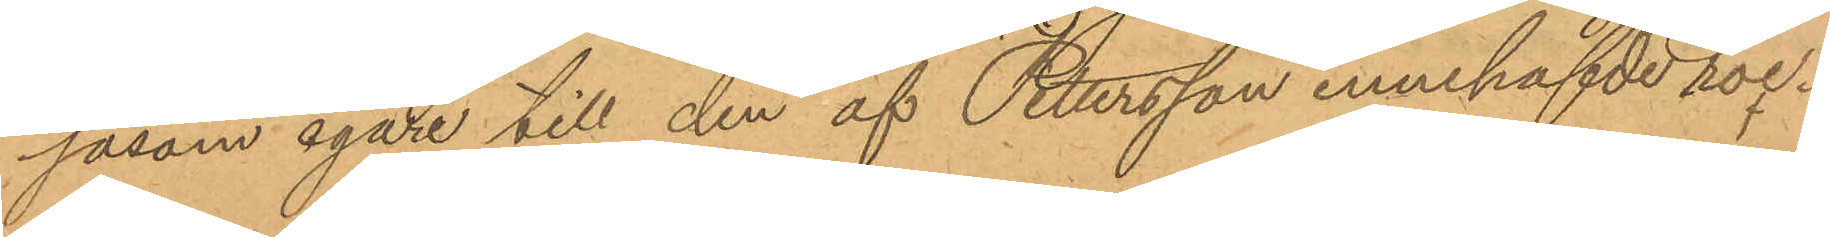såsom egare till den af Pettersson innehafvde roc¬
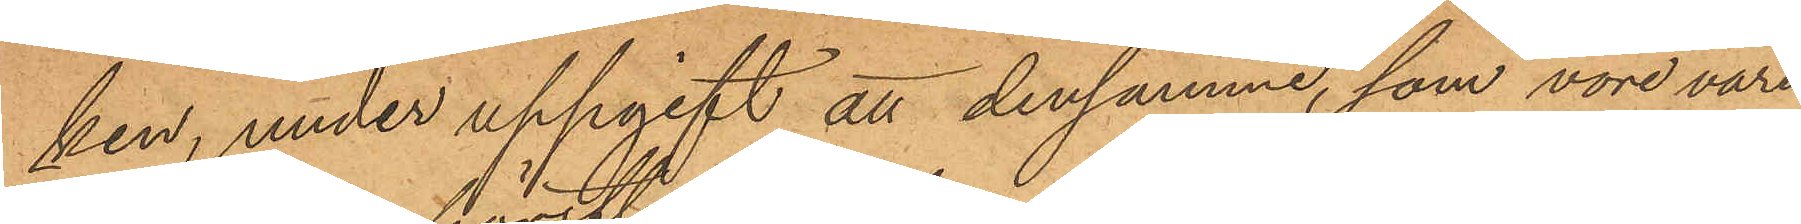ken, under uppgift att densamme, som vore värd
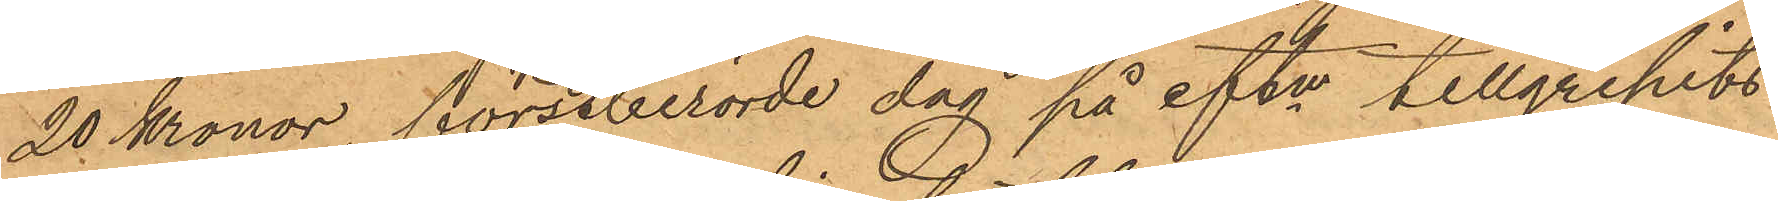20 Kronor, förutberörde dag på eftm tillgripits
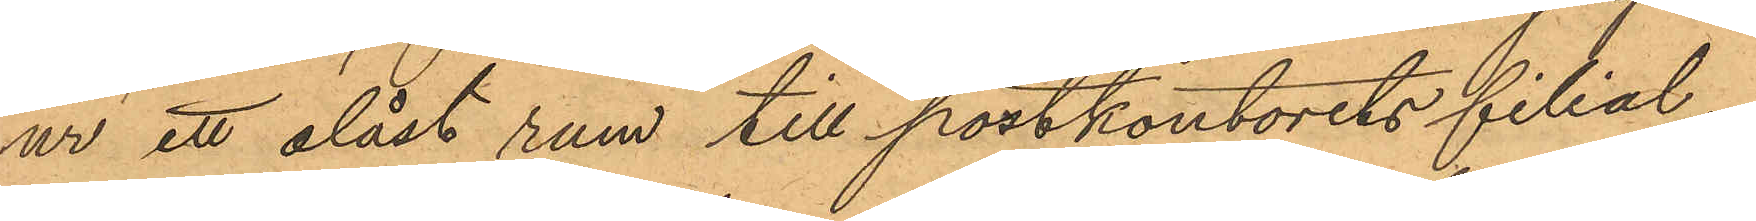ur ett olåst rum till postkontorets filial.
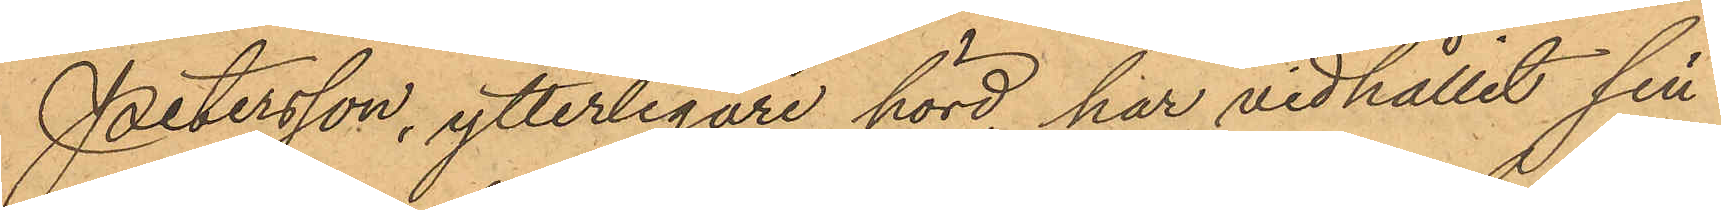Petersson, ytterligare hörd, har vidhållit sin
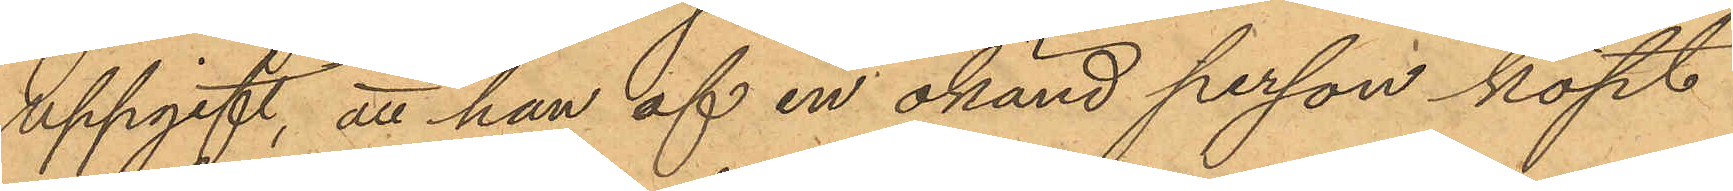uppgift, att han af en okänd person köpt
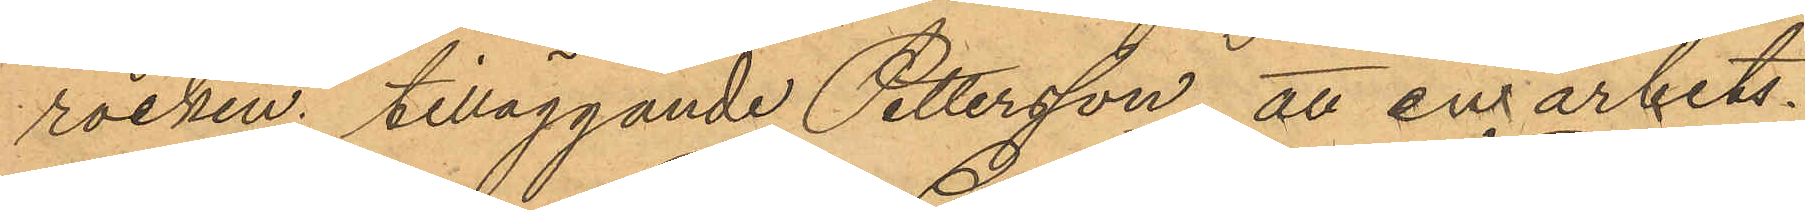rocken; tilläggande Pettersson, att en arbets¬
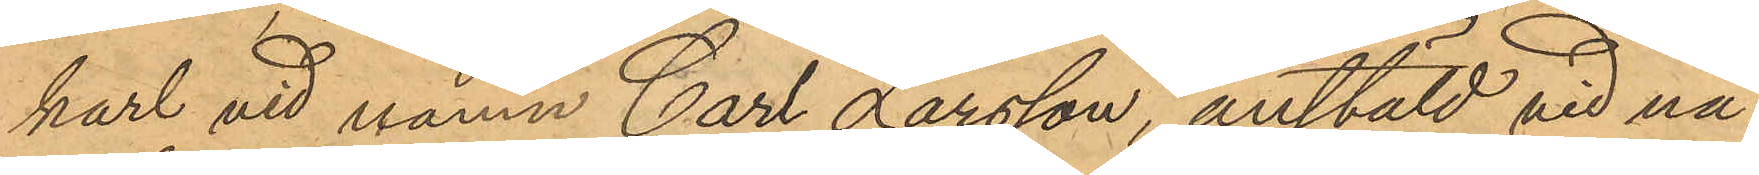karl vid namn Carl Larsson, anstäld vid nå¬
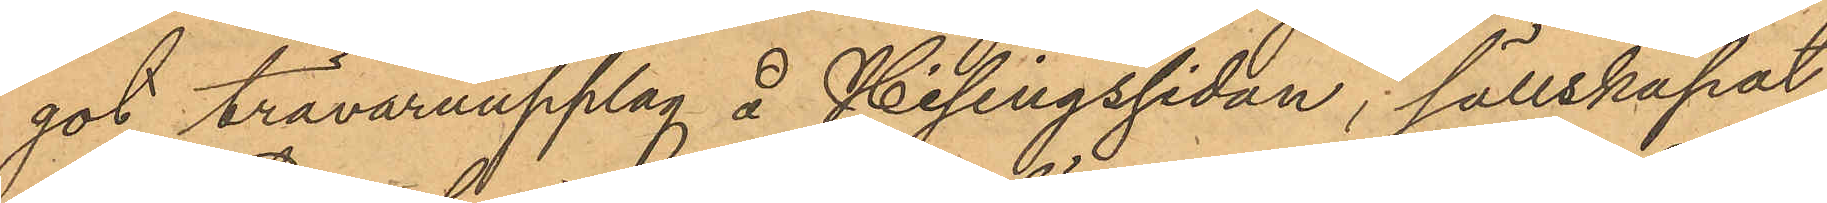got trävaruupplag å Hisingssidan, sällskapat
